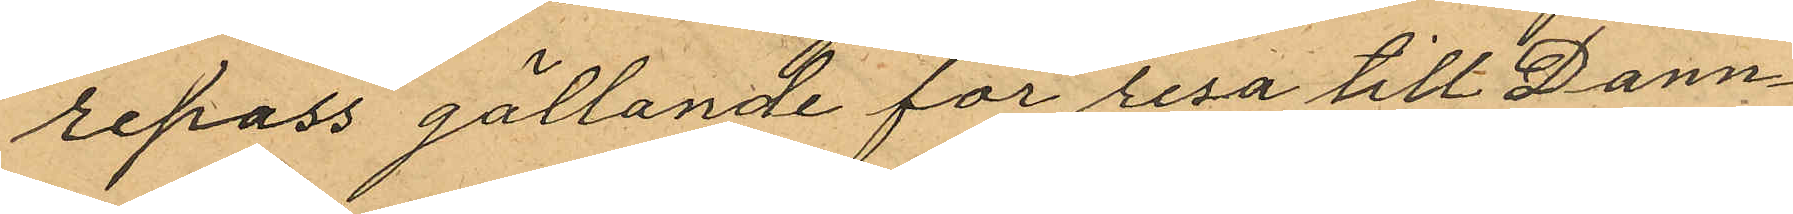repass gällande för resa till Dann¬
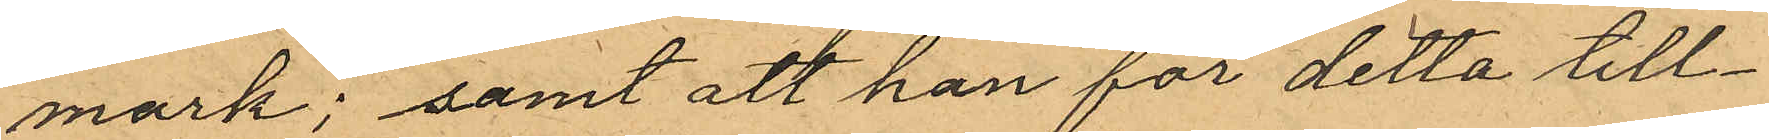mark; samt att han för detta till¬
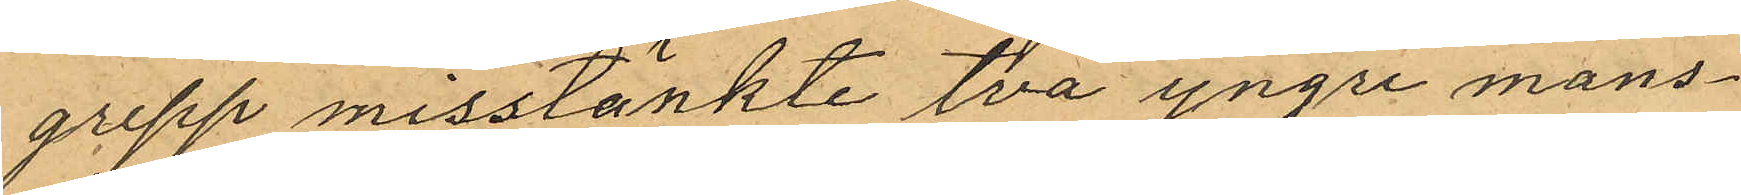grepp misstänkte två yngre mans¬
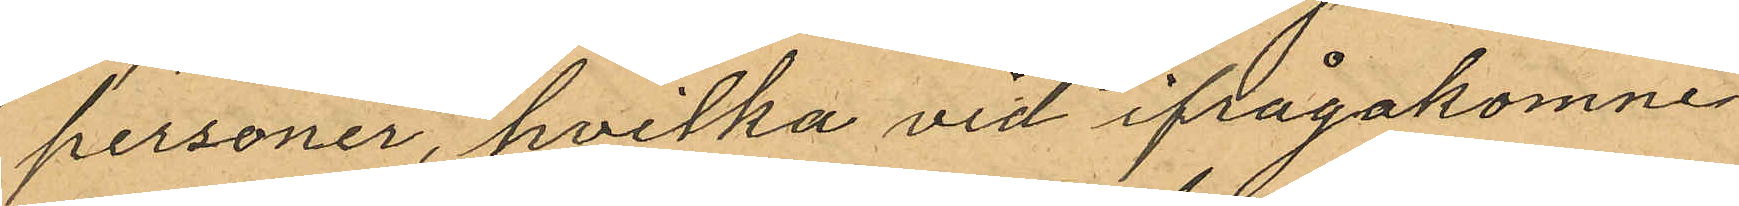personer, hvilka vid ifrågakomne
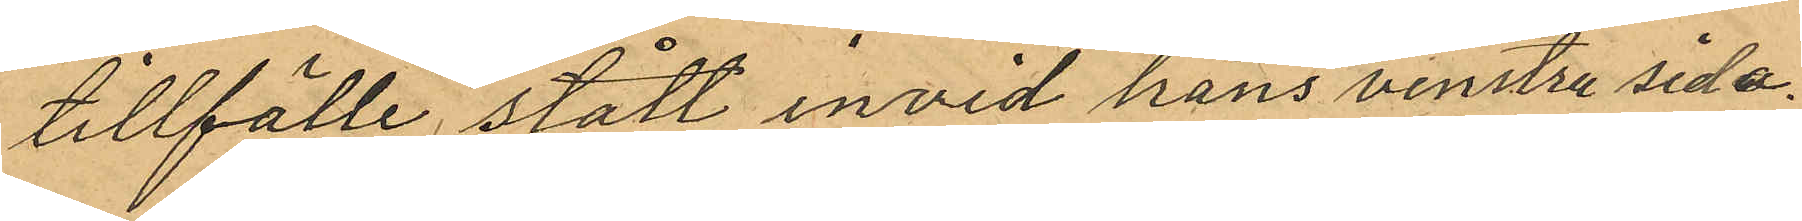tillfälle stått, invid hans venstra sida.
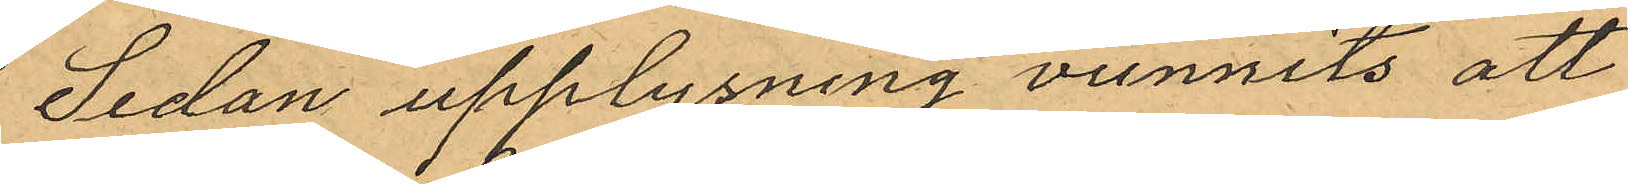Sedan upplysning vunnits att
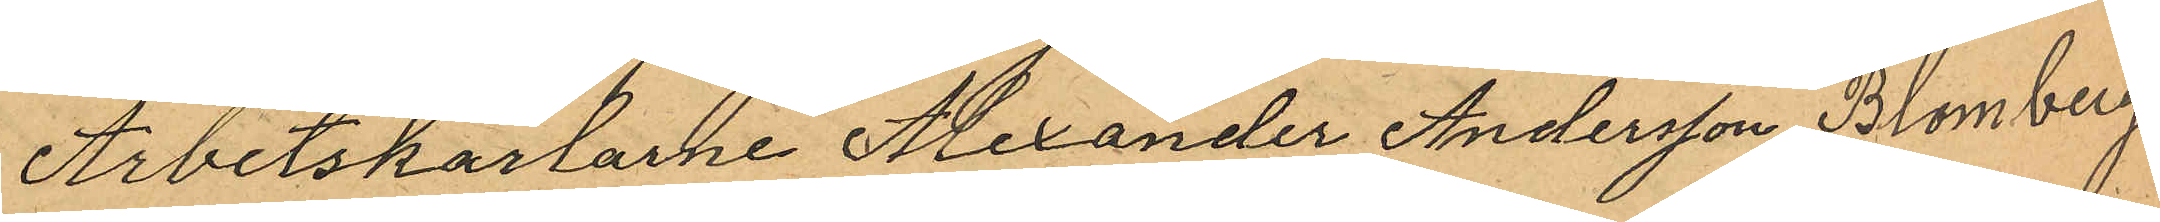Arbetskarlarne Alexander Andersson Blomberg
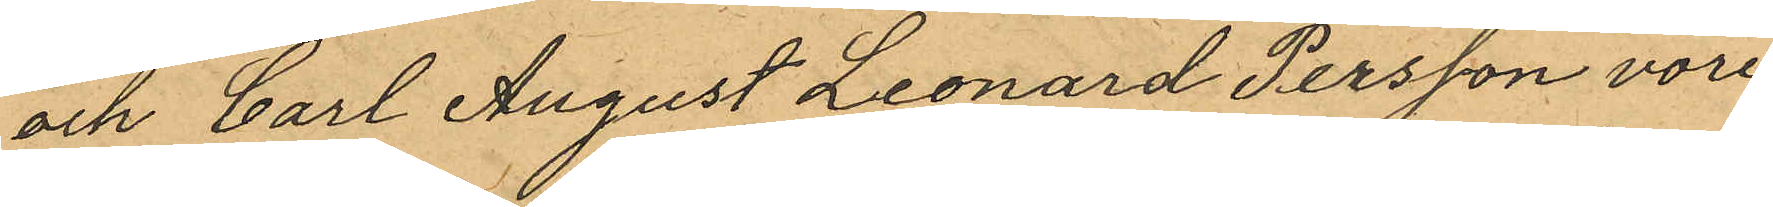och Carl August Leonard Persson vore
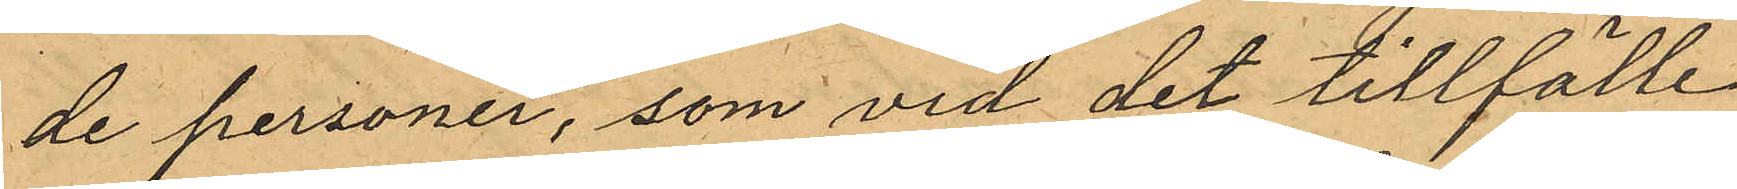de personer, som vid det tillfälle
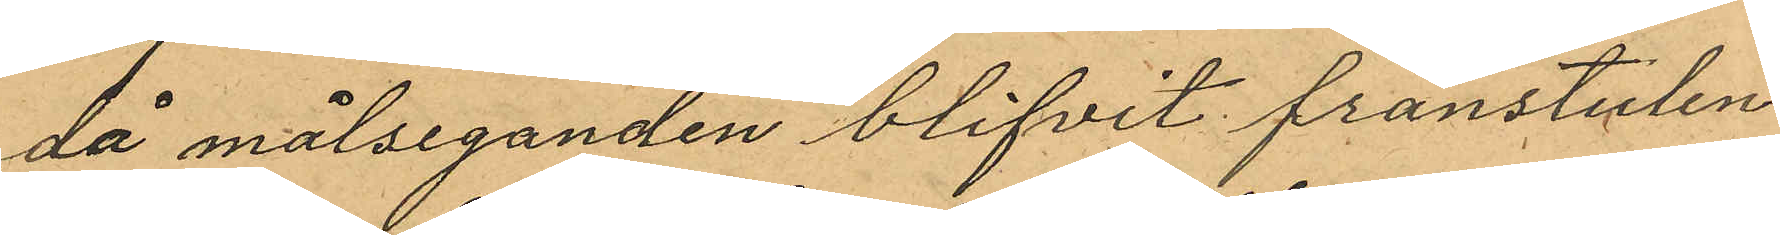då målseganden blifvit frånstulen
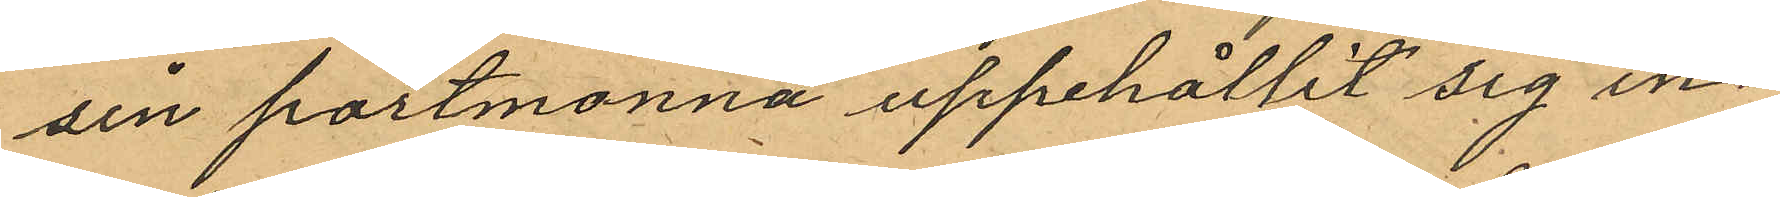sin portmonnä uppehållit sig in¬
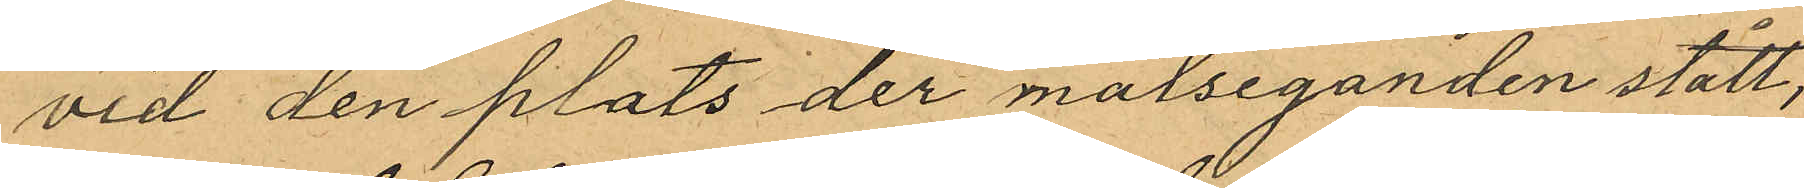vid den plats der målseganden stått,
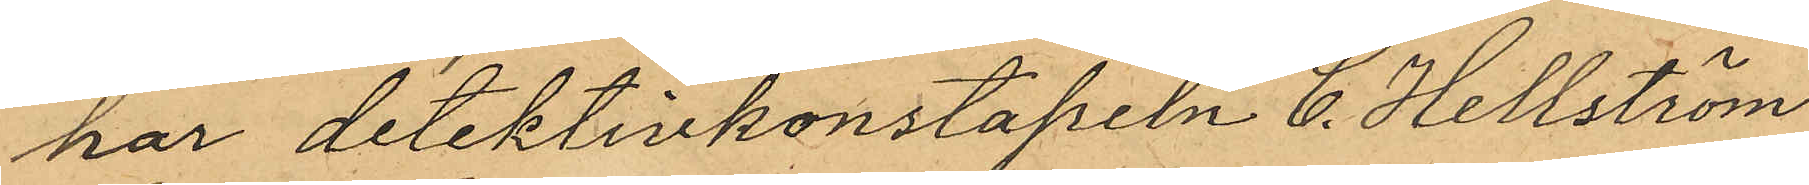har detektivkonstapeln C. Hellström
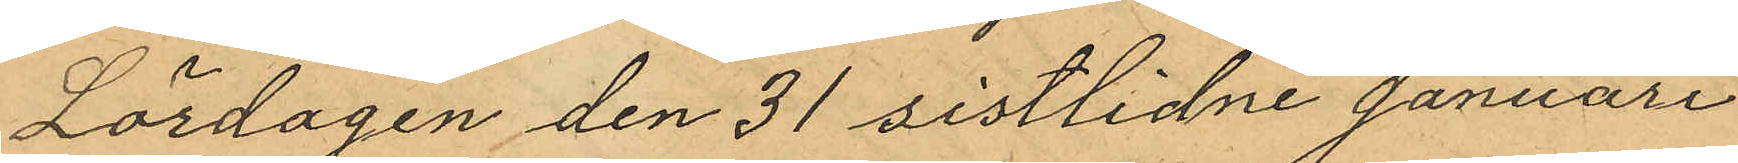Lördagen den 31 sistlidne Januari
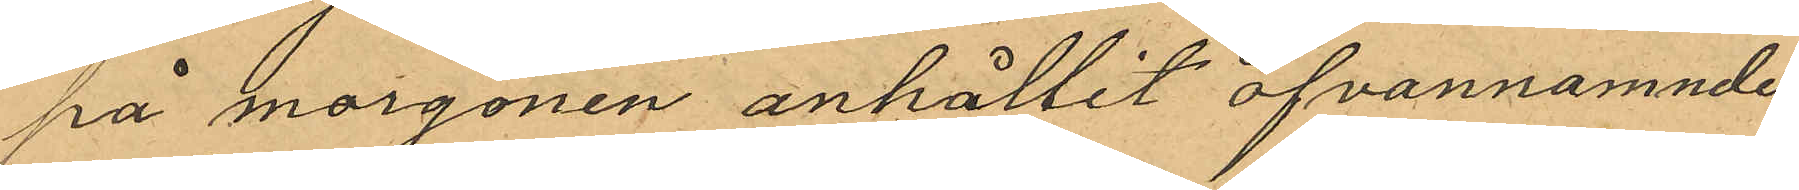på morgonen anhållit ofvannamnde
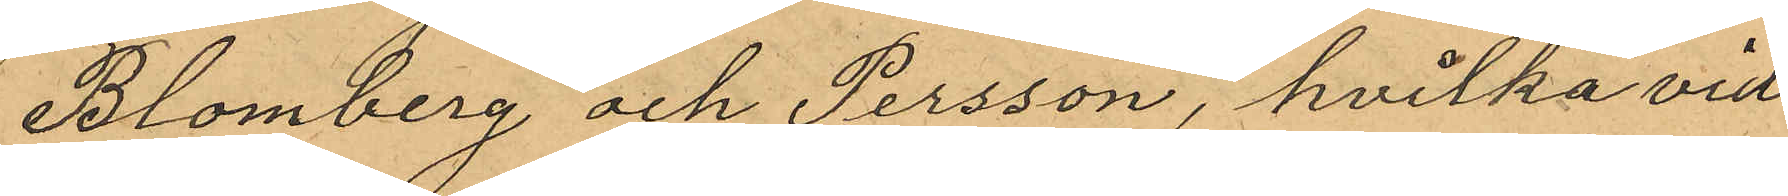Blomberg och Persson, hvilka vid
